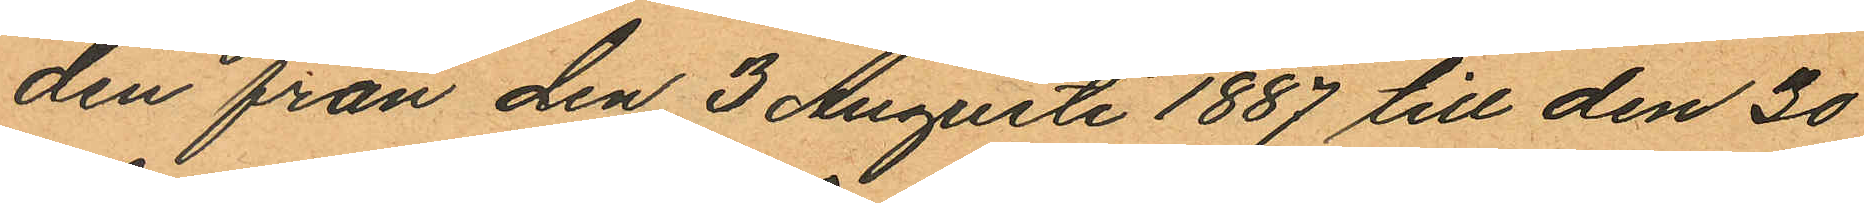den från den 3 Augusti 1887 till den 30
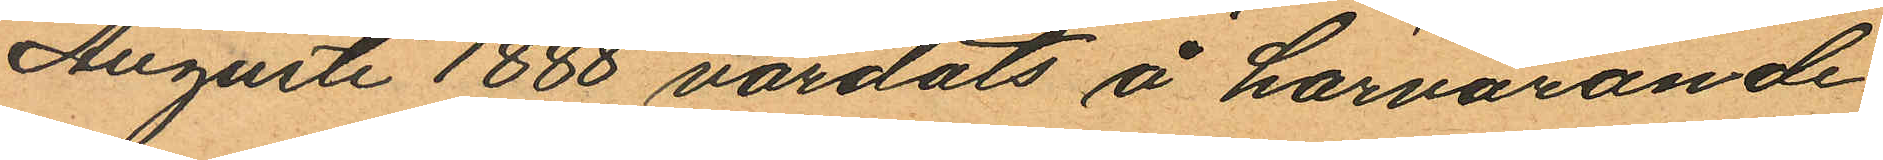Augusti 1888 vårdats å härvarande
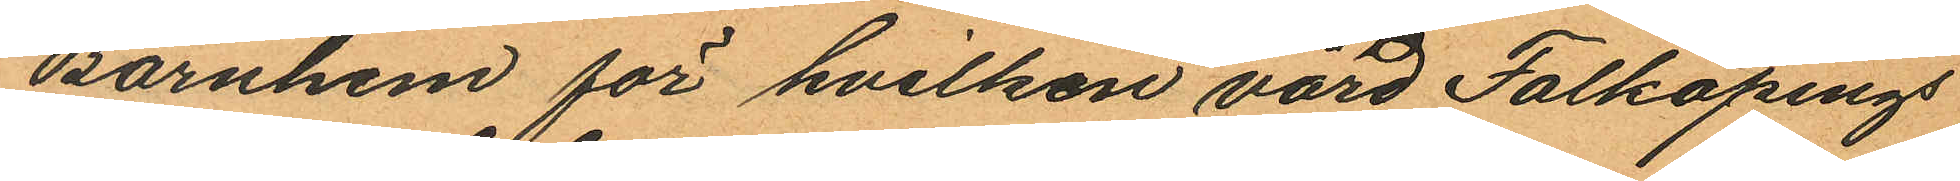Barnhem för hvilken vård Falköpings
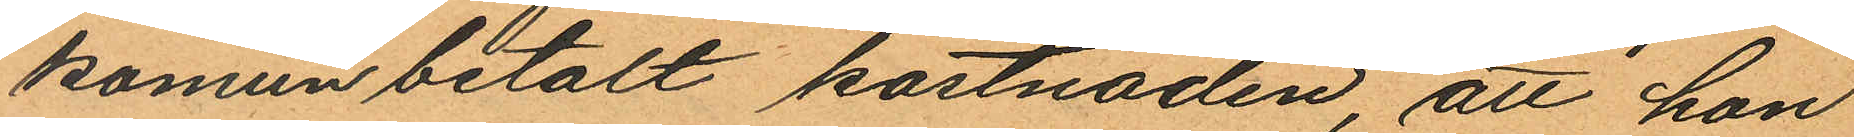komun betalt kostnaden, att hon
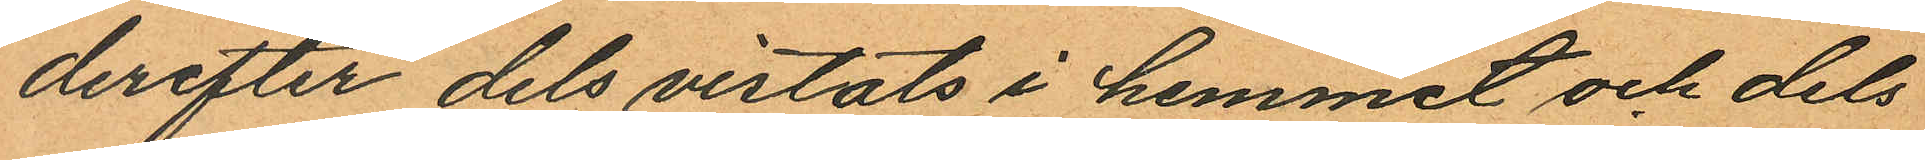derefter dels vistats i hemmet och dels
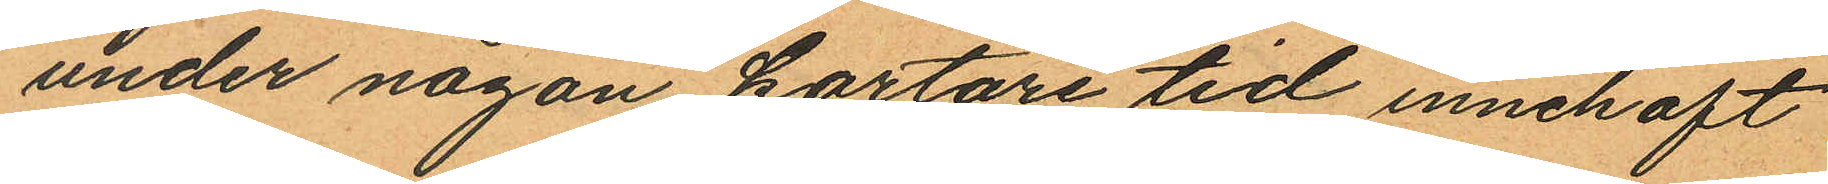under någon kortare tid innehaft
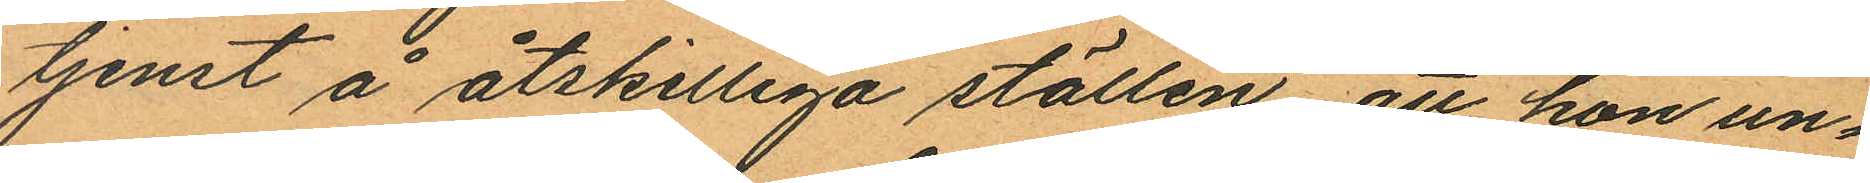tjenst å åtskilliga ställen, att hon un¬
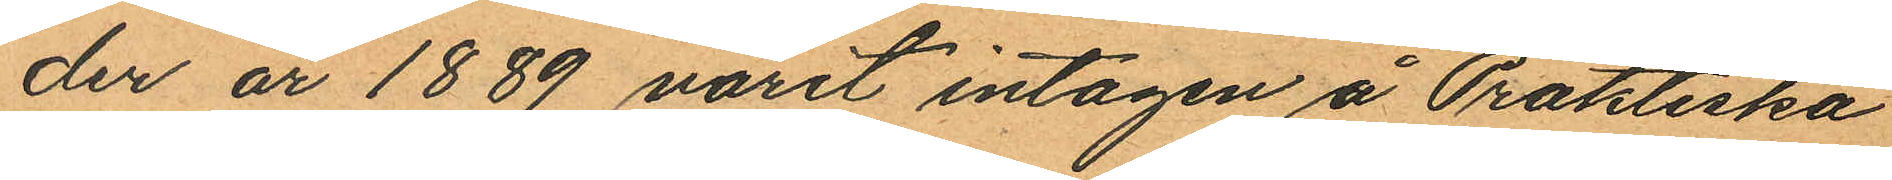der år 1889 varit intagen å Praktiska
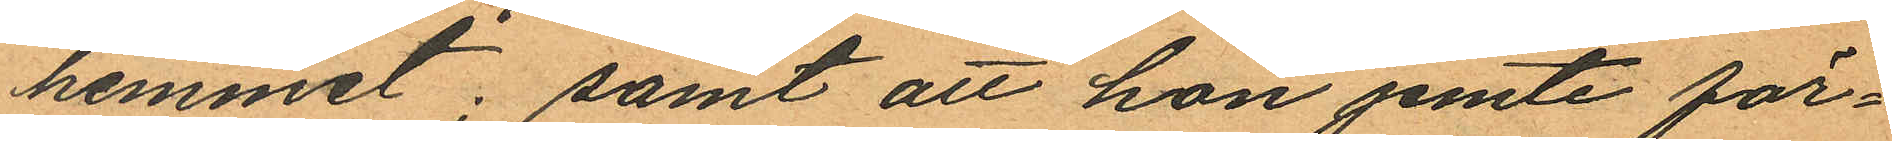hemmet; samt att hon jemte för¬
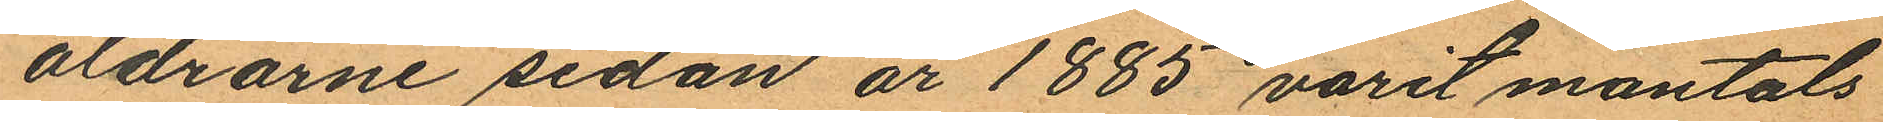äldrarne sedan år 1885 varit mantals
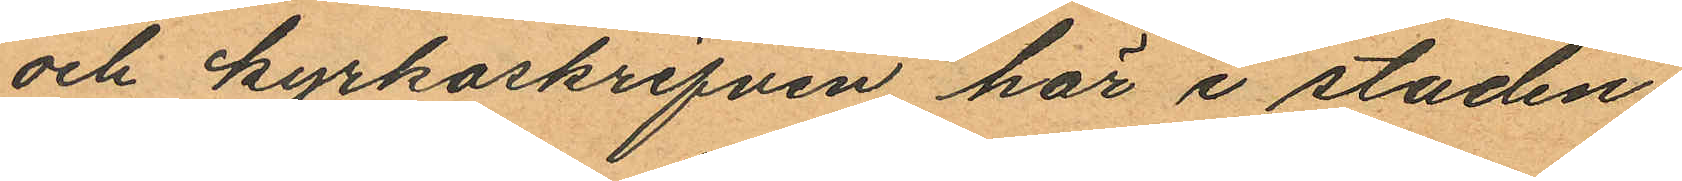och kyrkoskrifven här i staden.
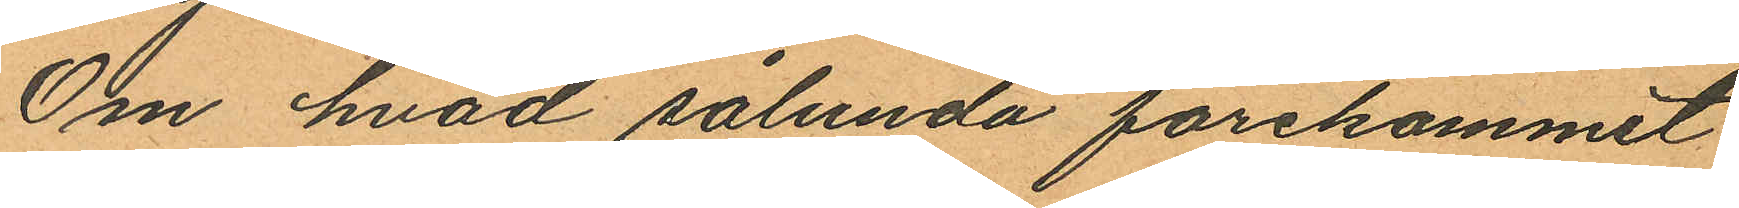Om hvad sålunda förekommit
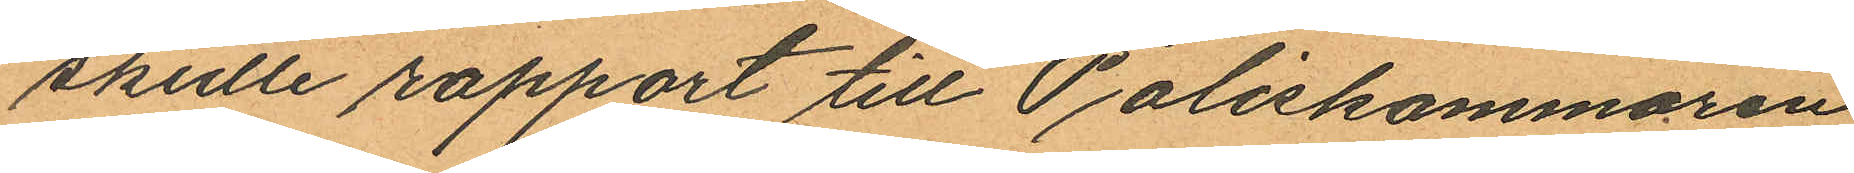skulle rapport till Poliskammaren
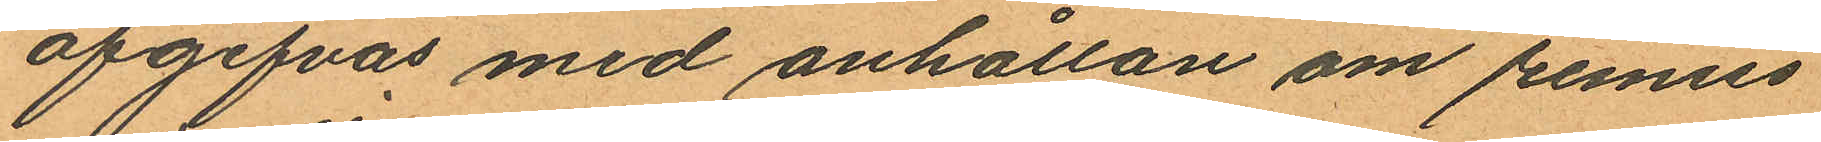afgifvas med anhållan om remiss
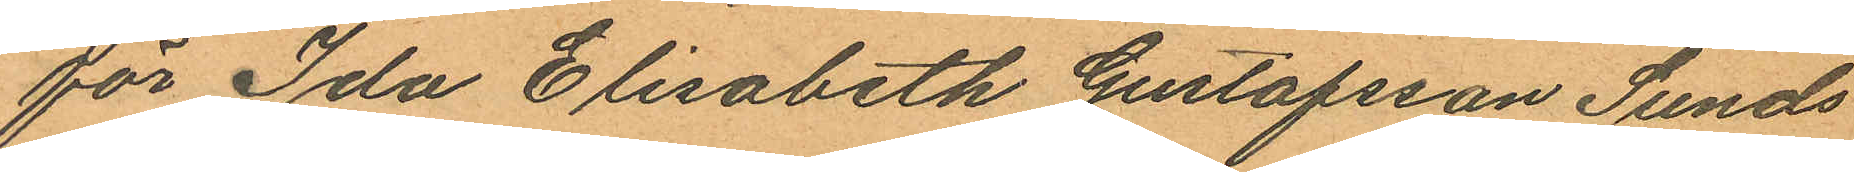för Ida Elisabetk Gustafsson Sunds
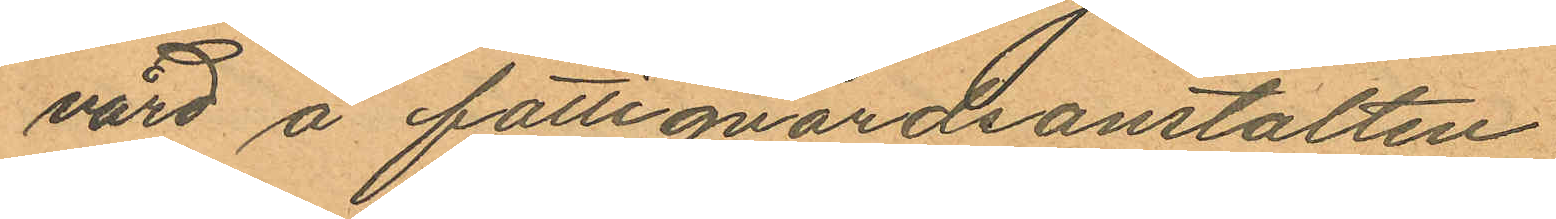vård å fattigvårdsanstalten.
